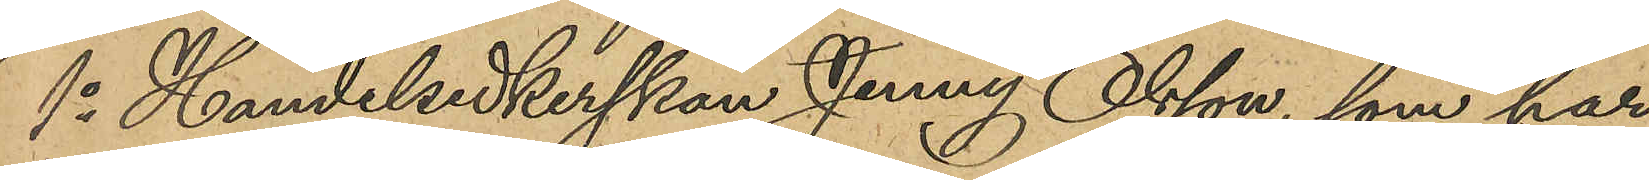1o Handelsidkerskan Jenny Olsson, som har
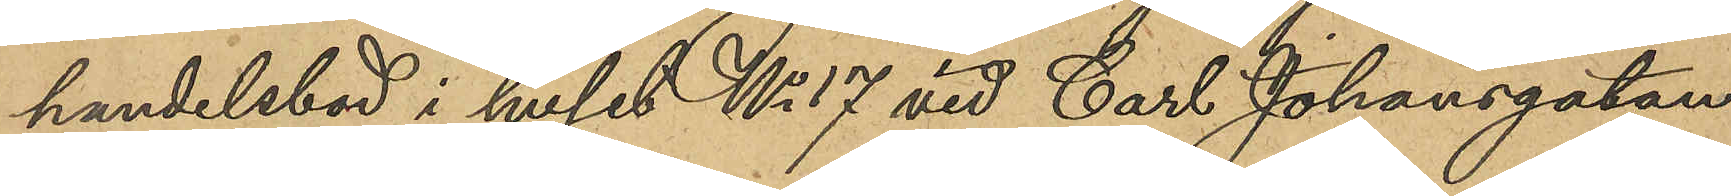handelsbod i huset No 17 vid Carl Johansgatan:
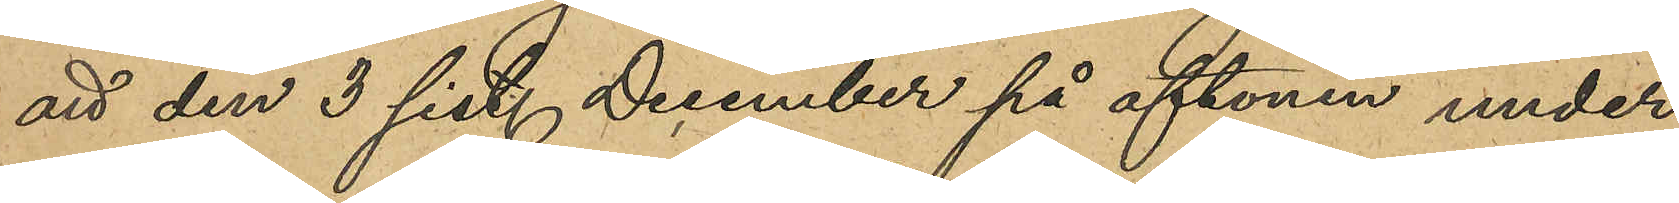att den 3 sist. December på aftonen under
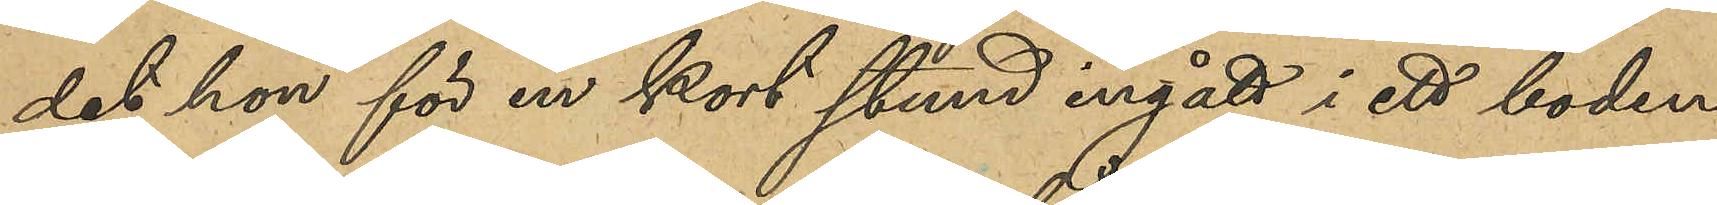det hon för en kort stund ingått i ett boden
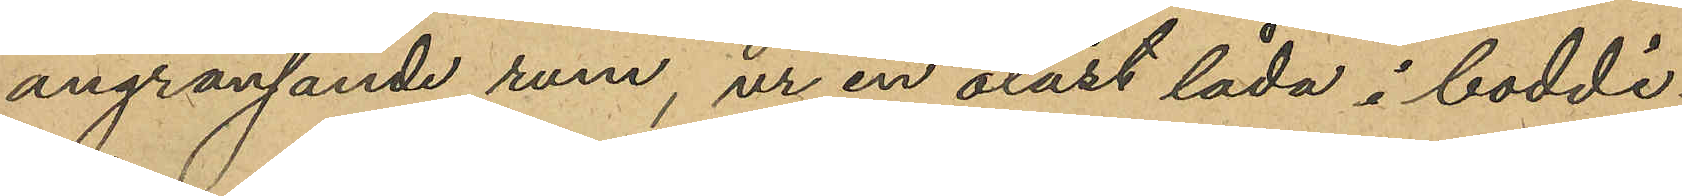angränsande rum, ur en olåst låda i boddi¬
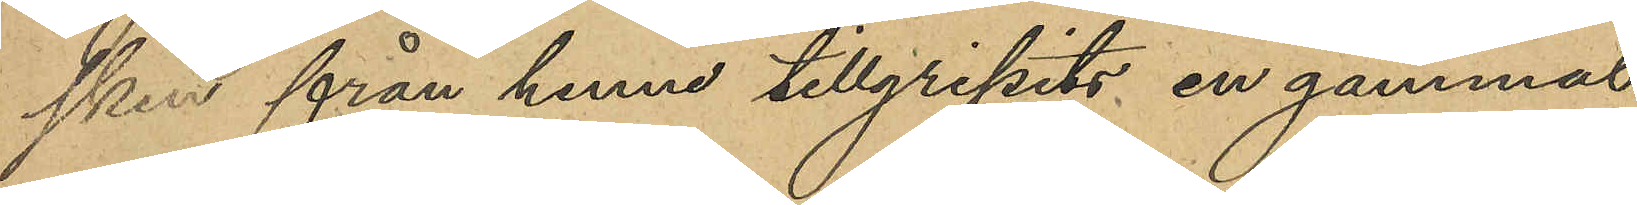sken från henne tillgripits en gammal
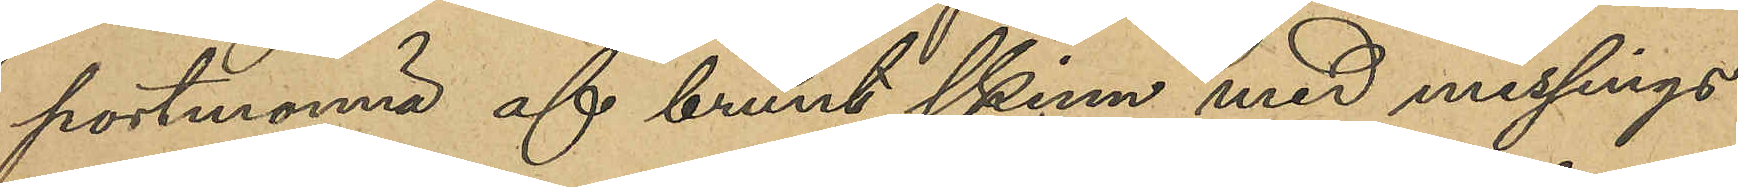portmonnä af brunt skinn med messings¬
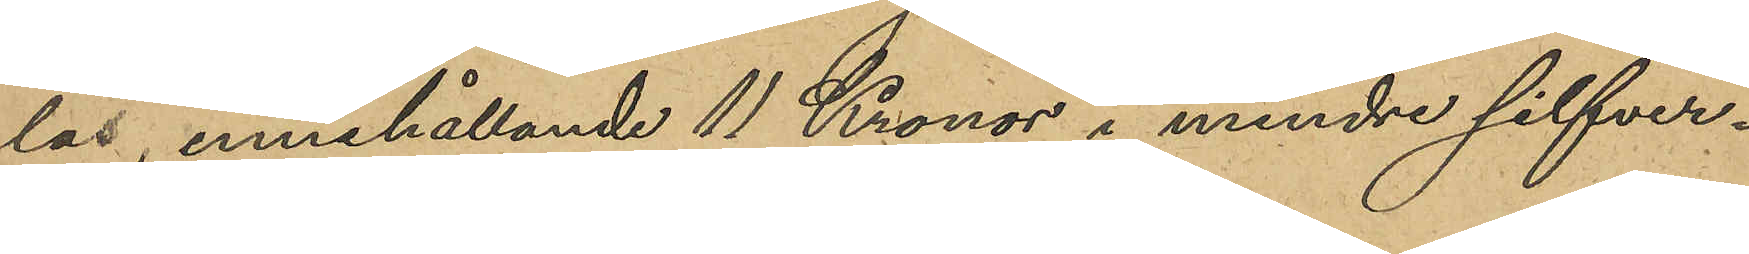lås, innehållande 11 Kronor i mindre silfver¬
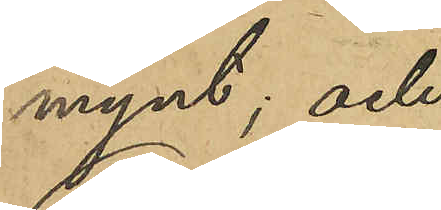mynt; och
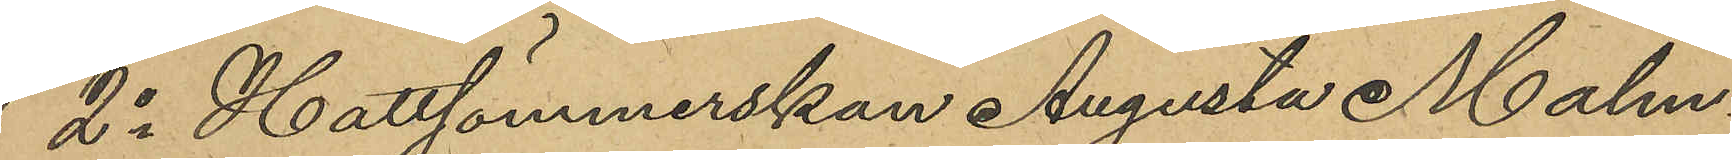2o Hattsömmerskan Augusta Malm¬
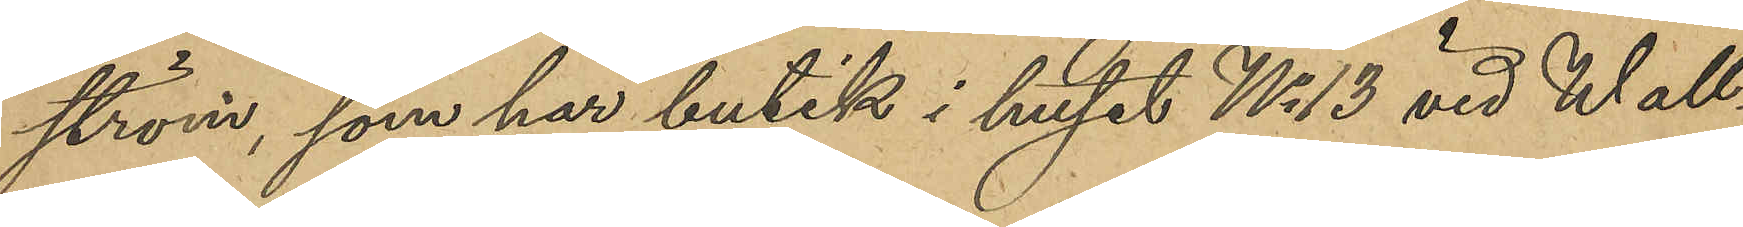ström, som har butik i huset No 13 vid Wall¬
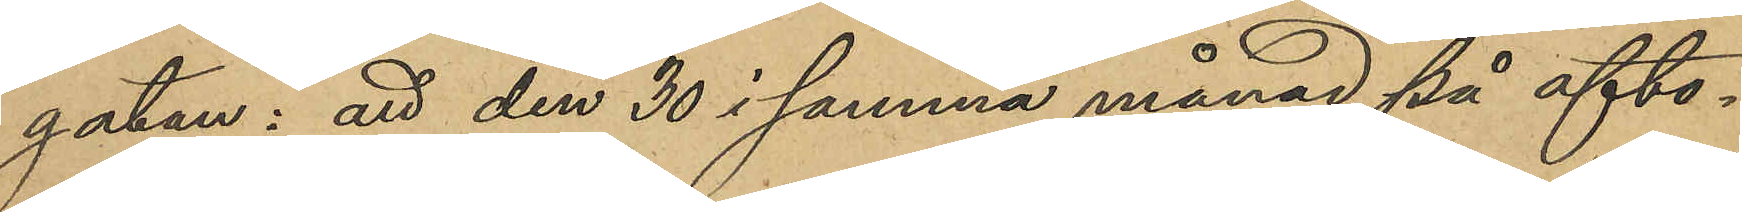gatan: att den 30 i samma månad på afto¬
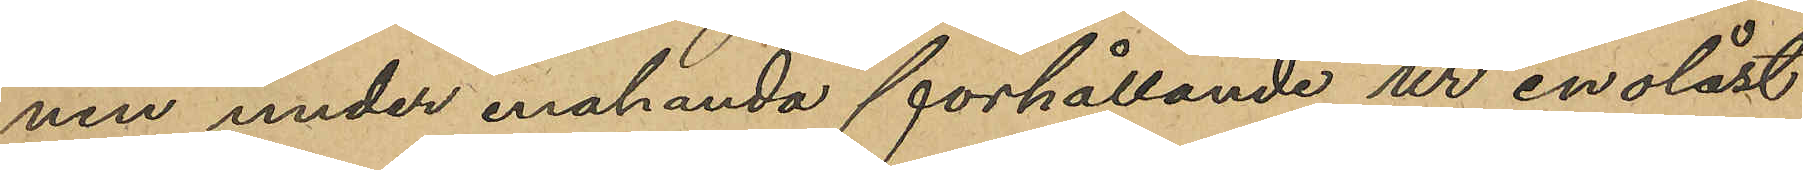nen under enahanda förhållande, ur en olåst
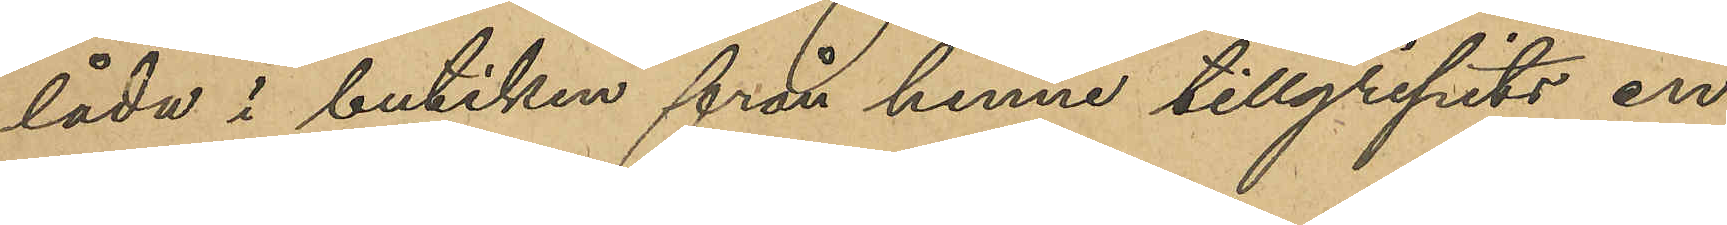låda i butiken från henne tillgripits en
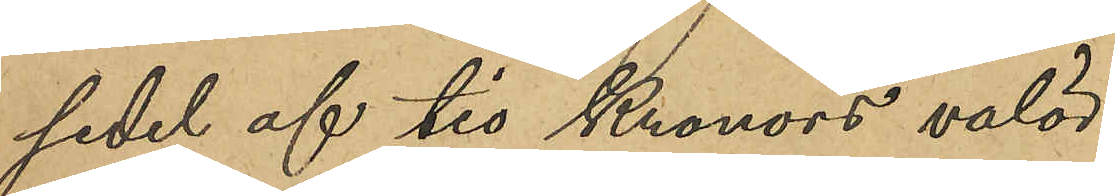sedel af tio Kronors valör.
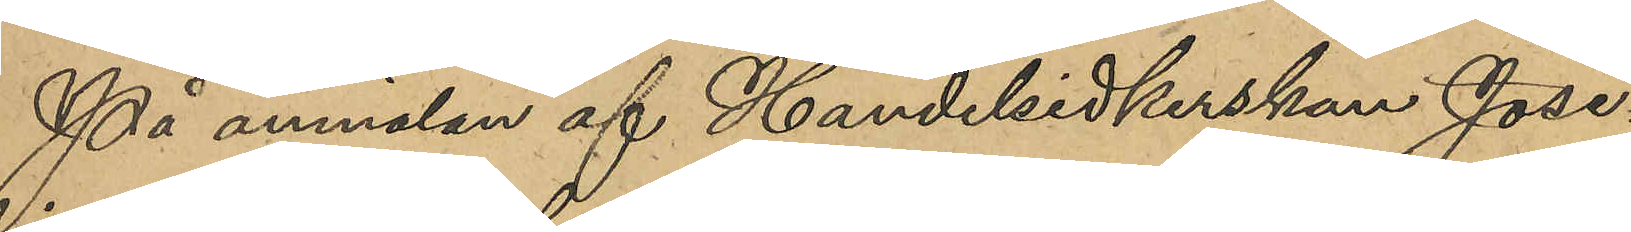På anmälan af Handelsidkerskan Jose¬
